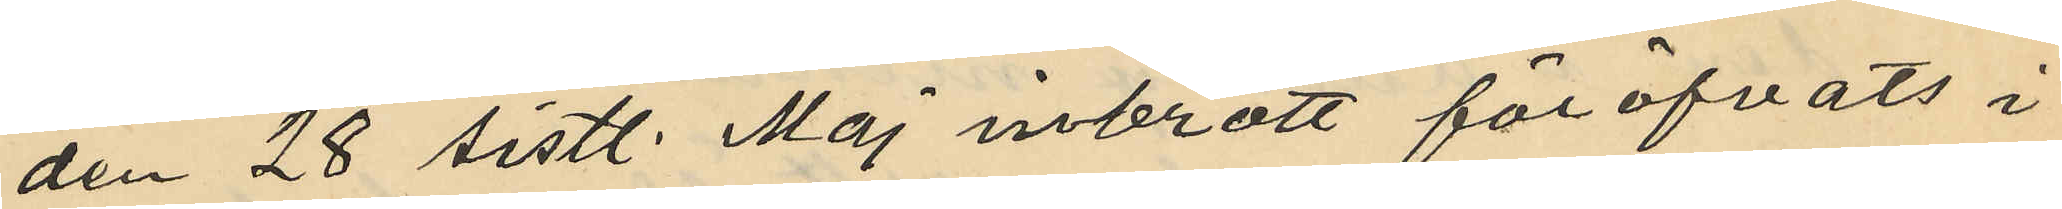den 28 sistl. Maj inbrott föröfvats i
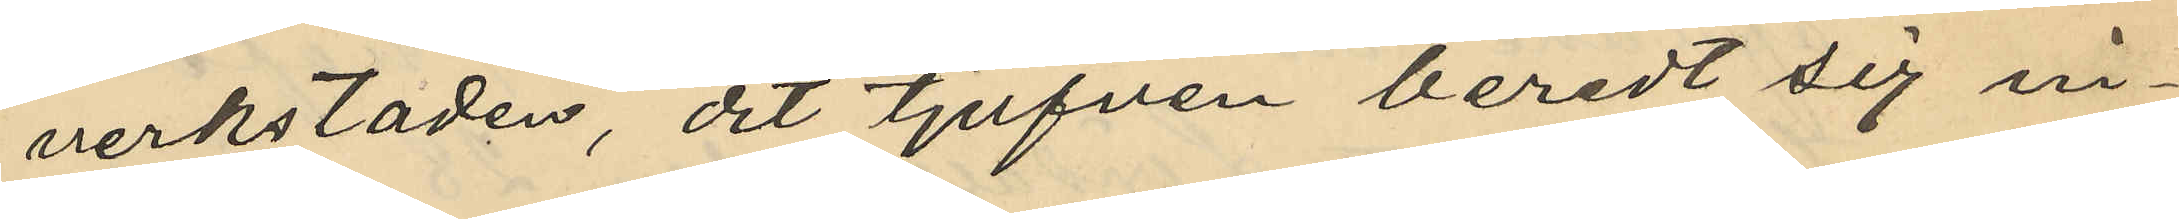verkstaden, dit tjufven beredt sig in¬
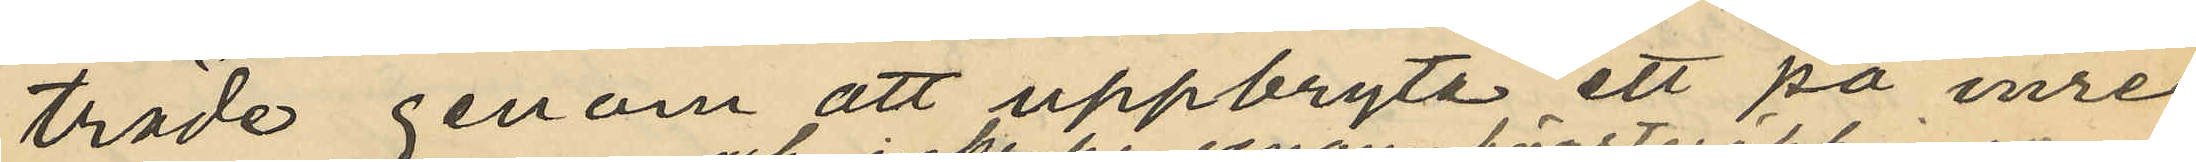träde genom att uppbryta ett på inre
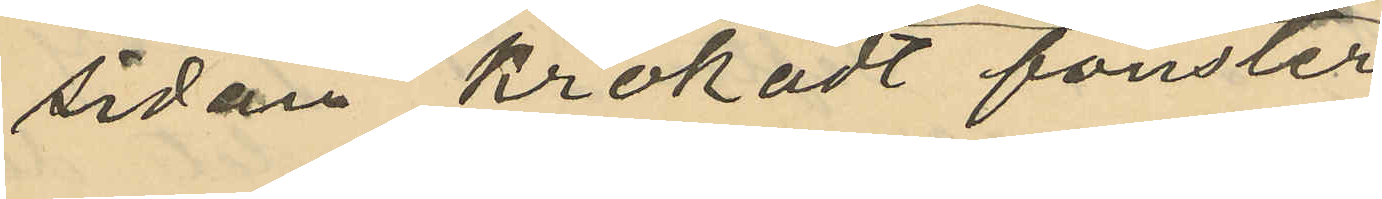sidan krokadt fönster
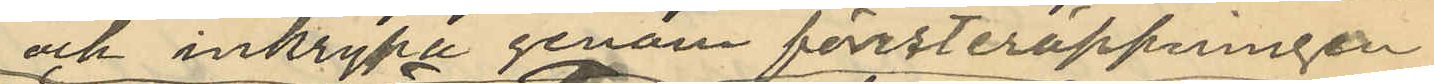och inkrypa genom försteröppningen
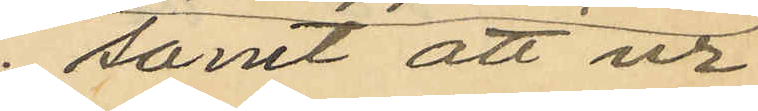samt att ur
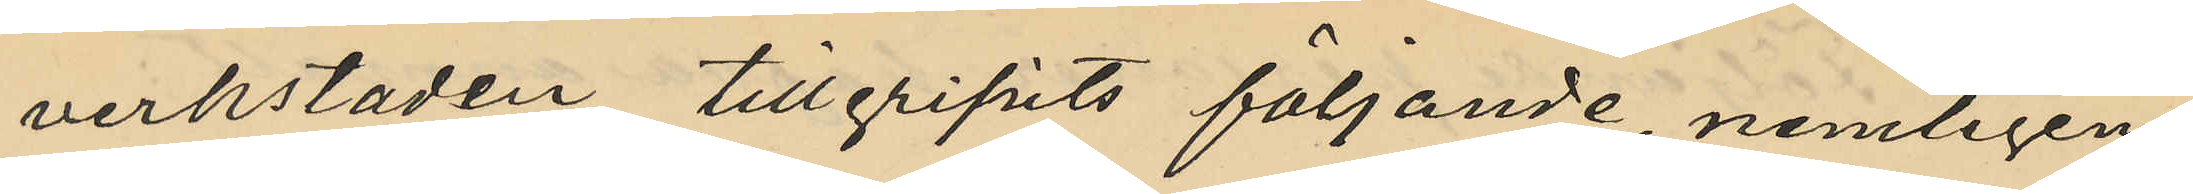verkstaden tillgripits följande, nemligen
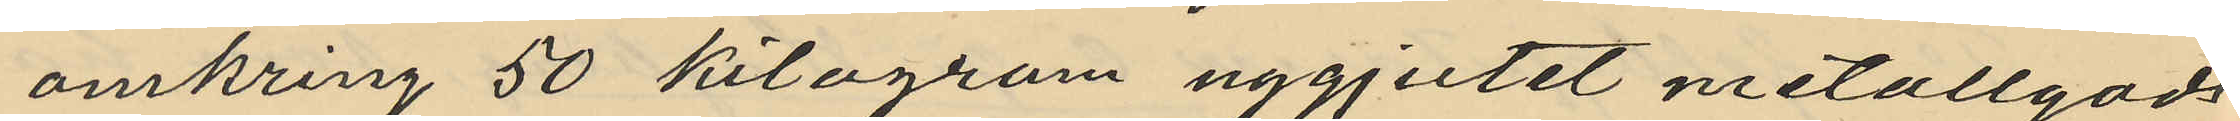omkring 50 kilogram nygjutet metallgods
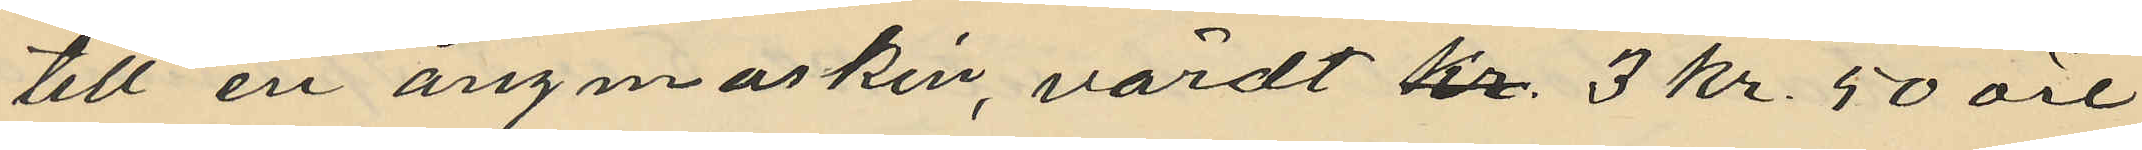till en ångmaskin, värdt kr. 3 kr. 50 öre
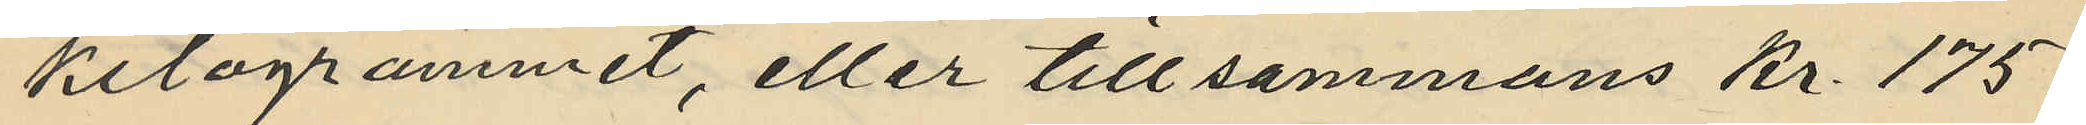kilogrammet, eller tillsammans Kr 175.
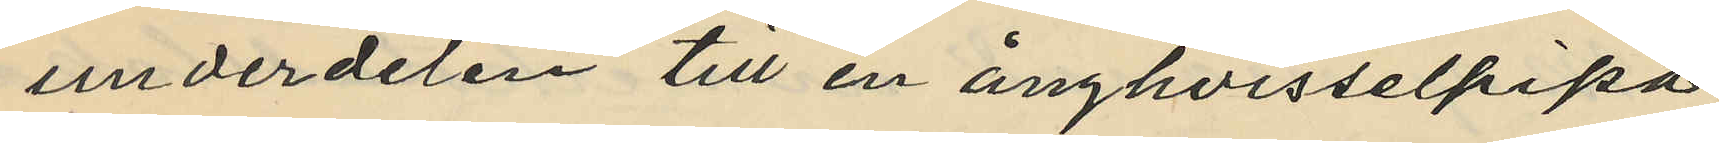underdelen till en ånghvisselpipa
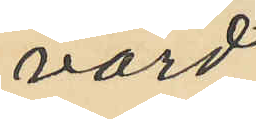värd
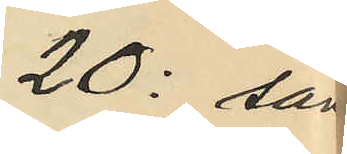20: sam
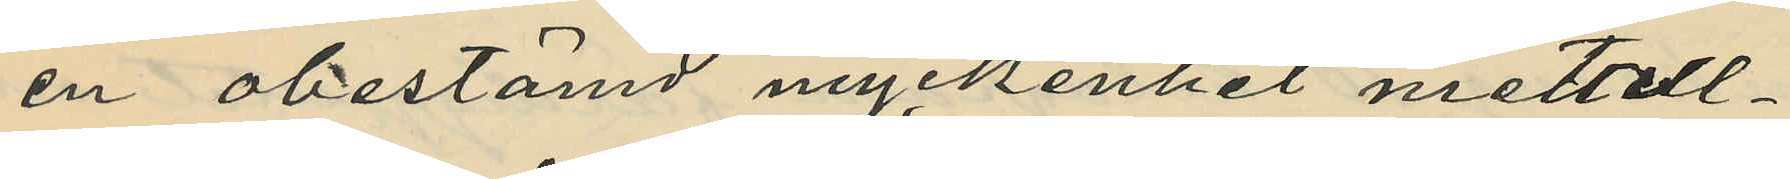en obestämd myckenhet metall¬
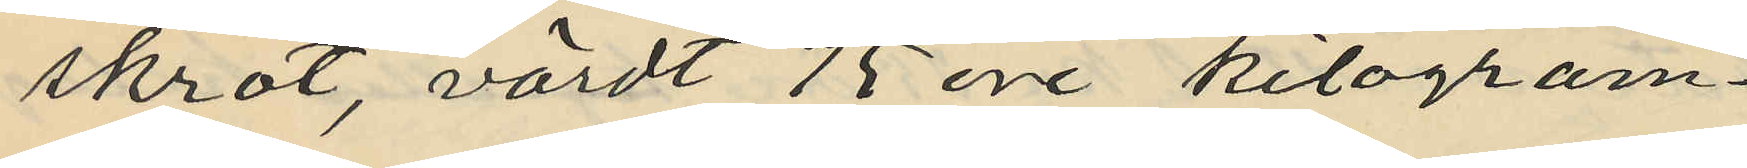skrot, värdt 75 öre kilogram¬
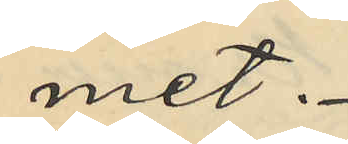met.
